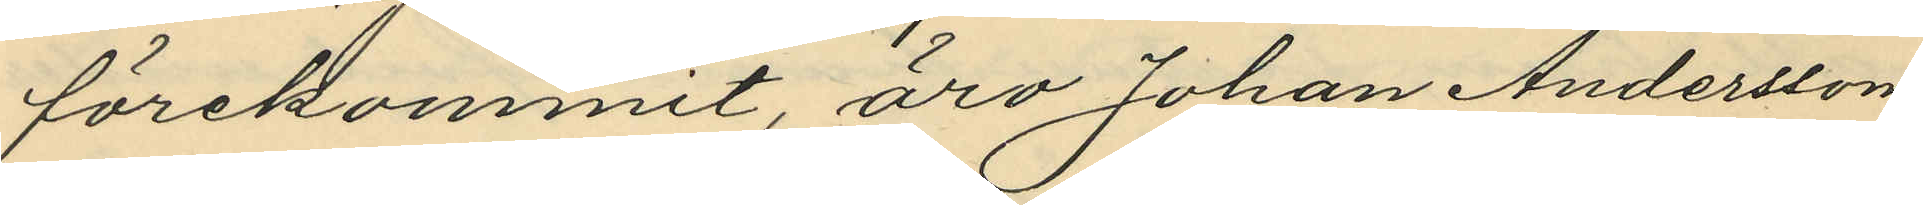förekommit, äro Johan Andersson
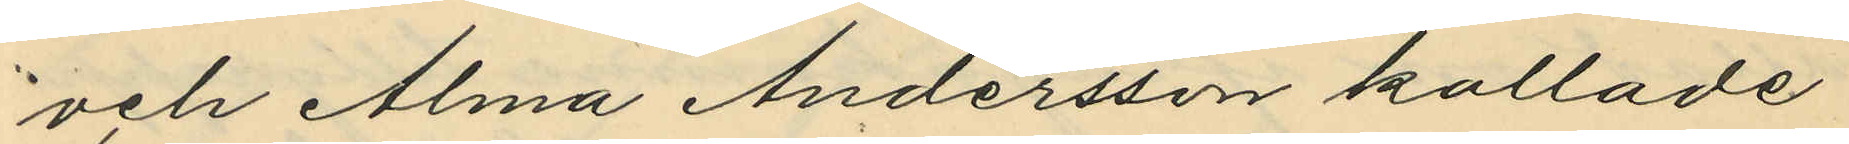och Alma Andersson kallade
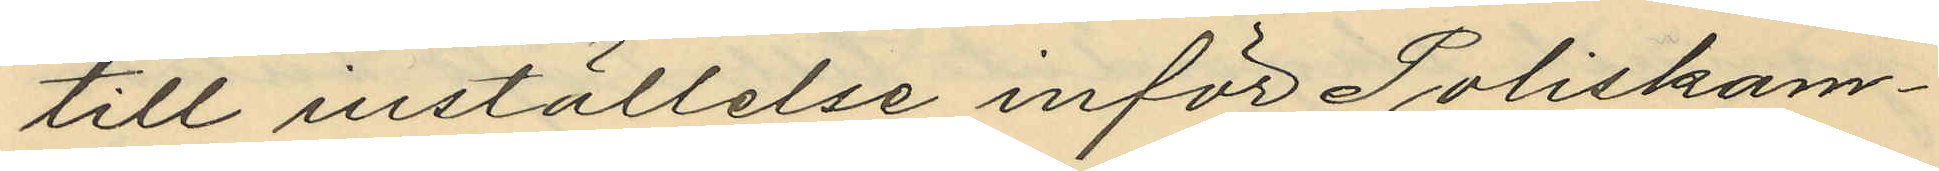till inställelse inför Poliskam¬
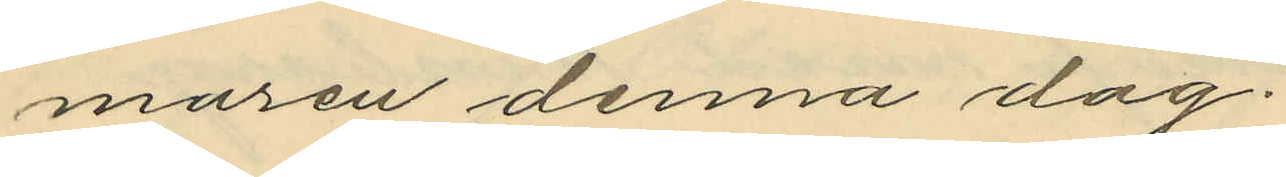maren denna dag.
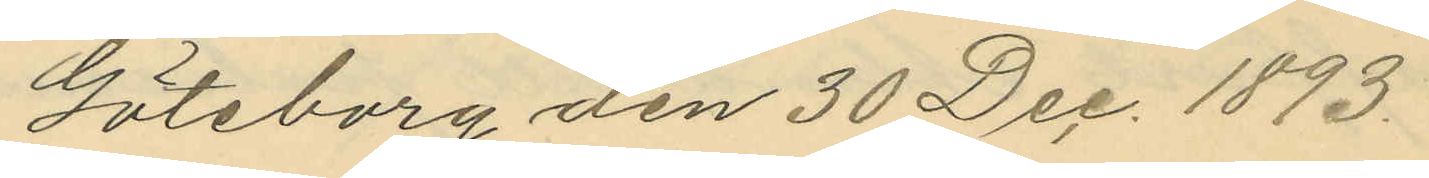Göteborg den 30 Dec. 1893.
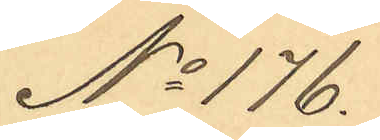No 176.
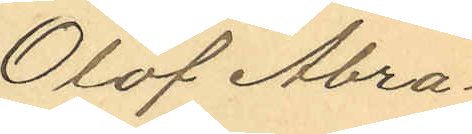Olof Abra¬
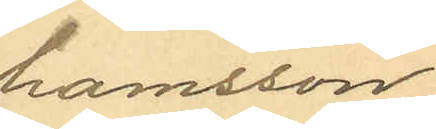hamsson
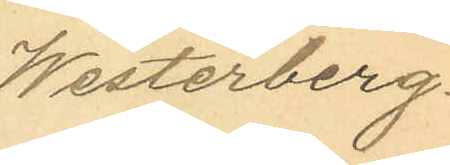Westerberg.
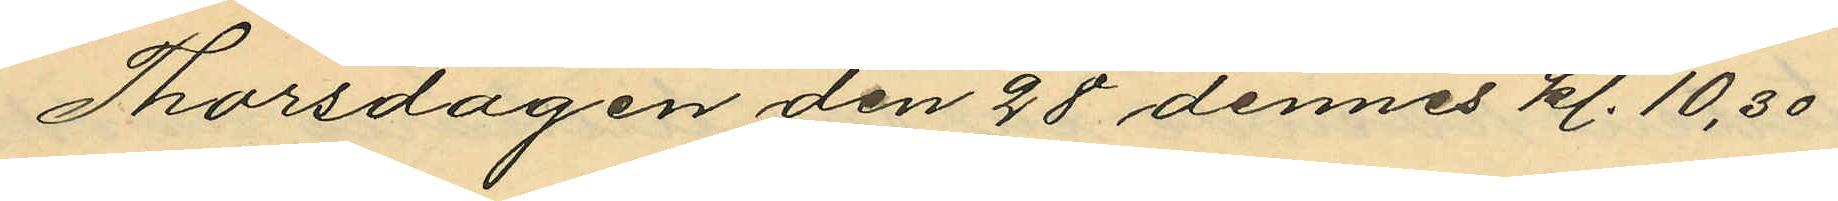Thorsdagen den 28 dennes kl. 10,30
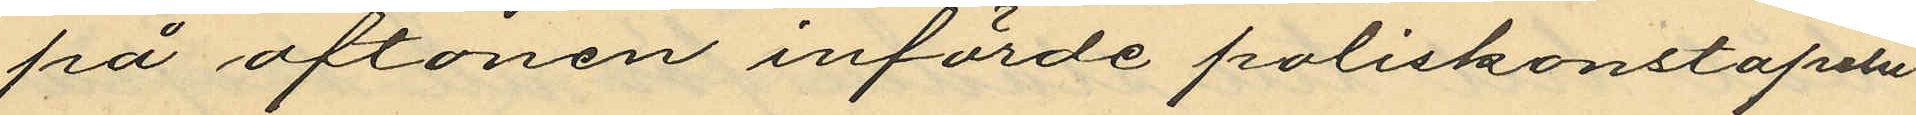på aftonen införde poliskonstapeln
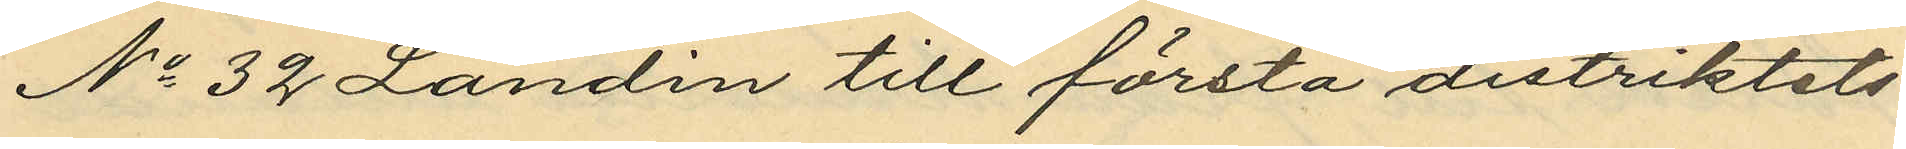No 32 Landin till första distriktets
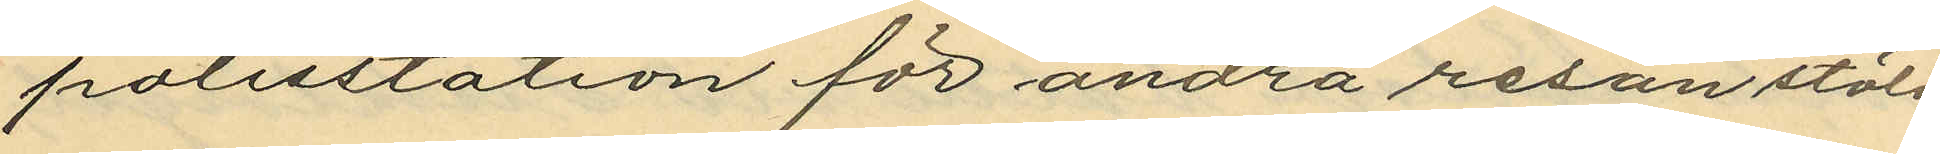polisstation för andra resan stöld
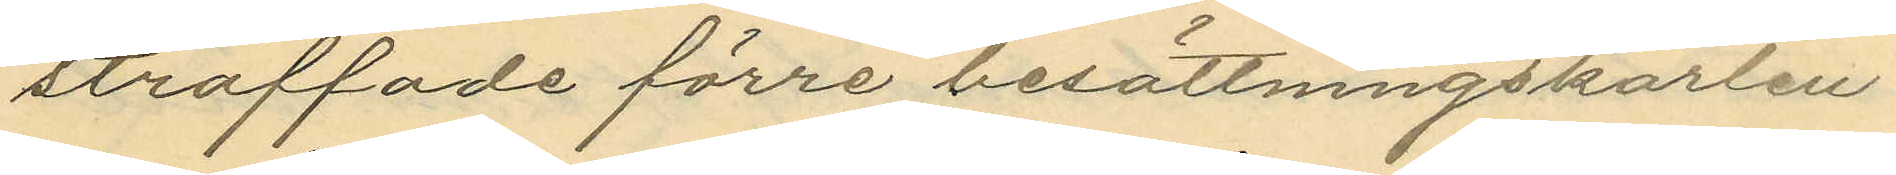straffade förre besättningskarlen
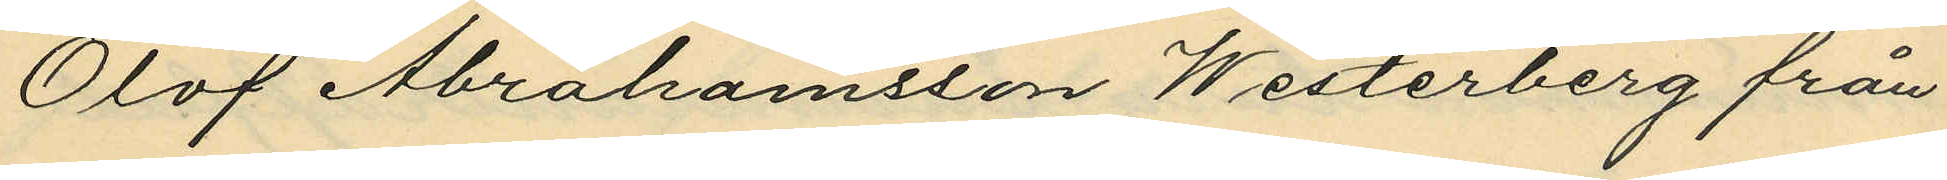Olof Abrahamsson Westerberg från
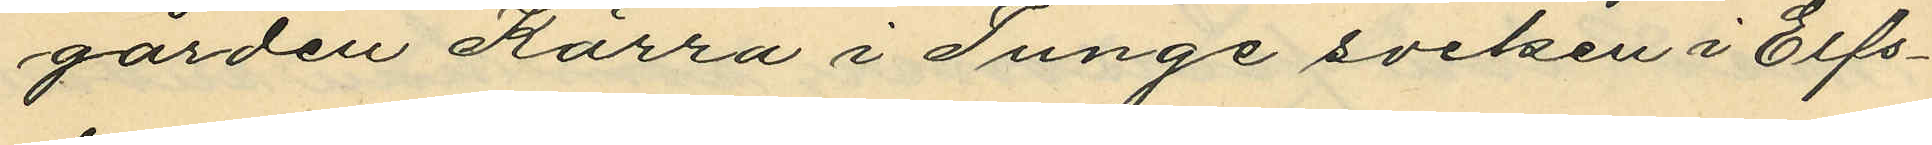gården Kärra i Tunge socken i Elfs¬
